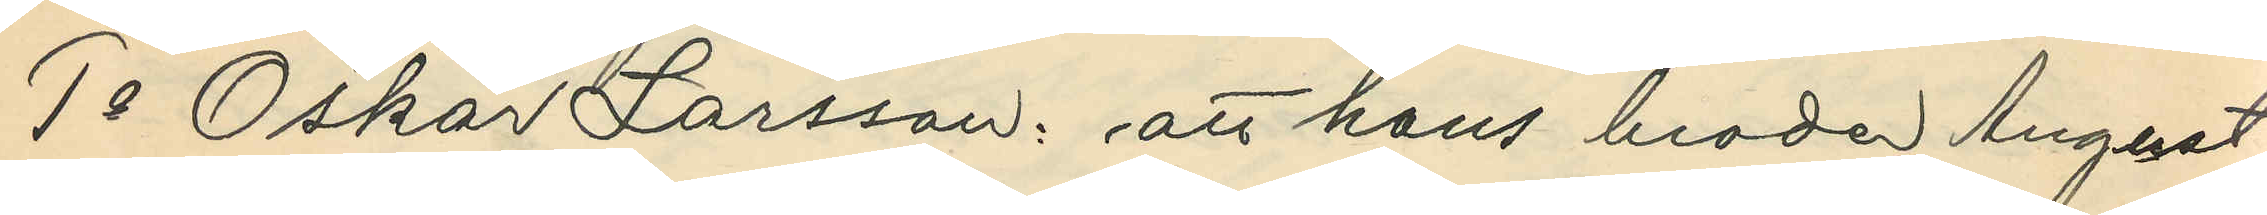1o Oskar Larsson: att hans broder August
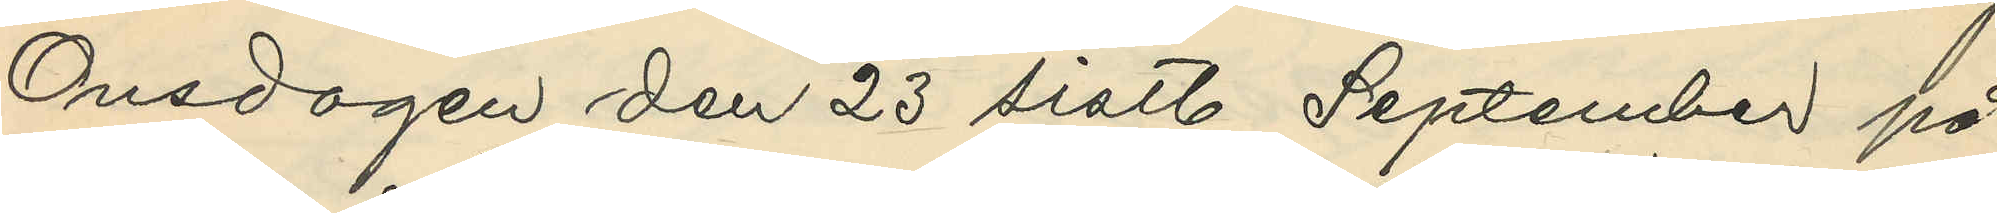Onsdagen den 23 sistl. September på
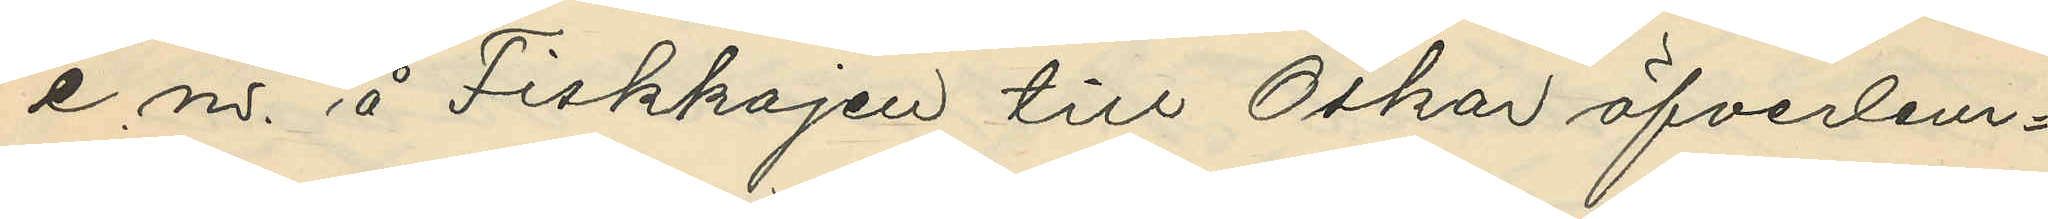e.m. å Fiskkajen till Oskar öfverlem¬
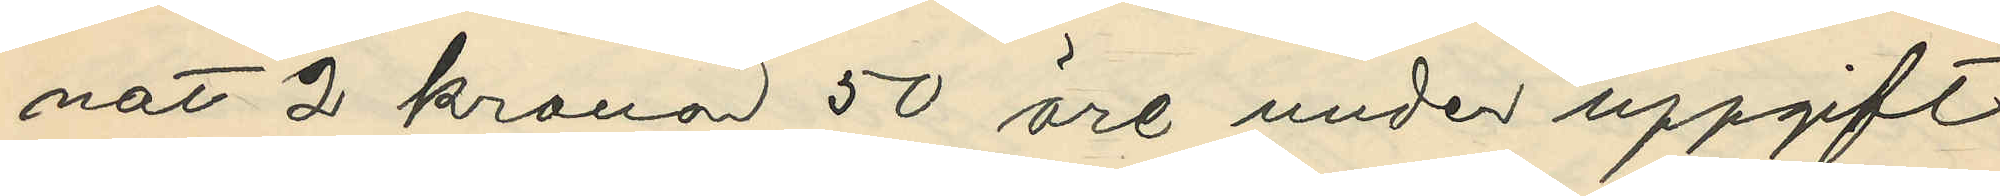nat 2 kronor 50 öre under uppgift
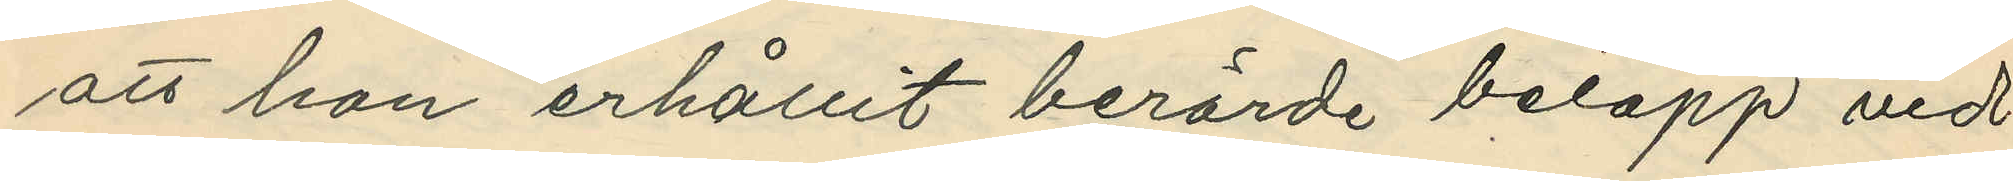att han erhållit berörde belopp vid
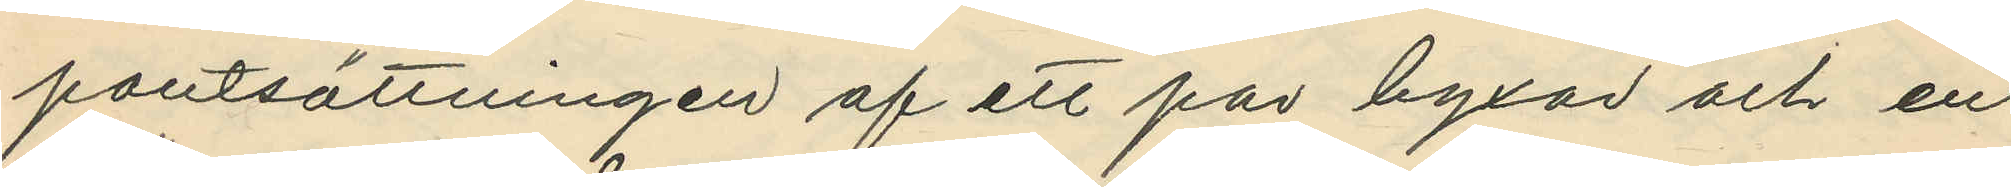pantsättningen af ett par byxor och en
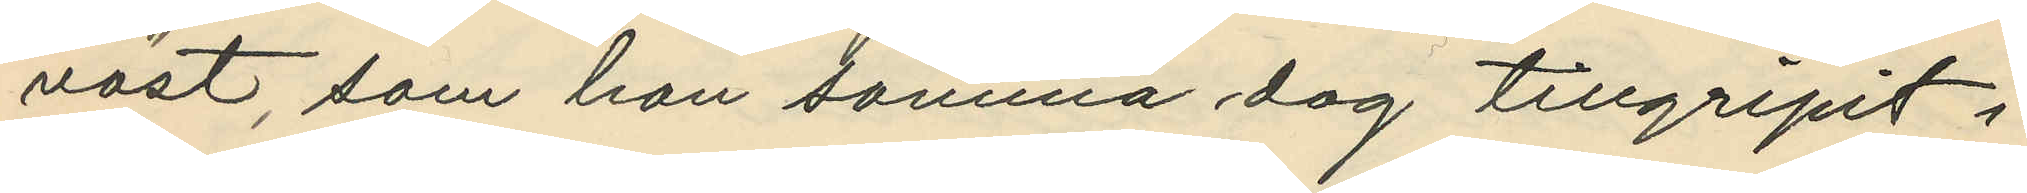väst, som han samma dag tillgripit i
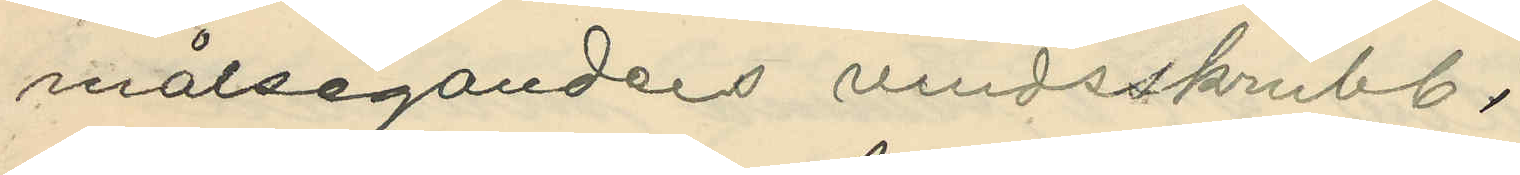målsegandens vindsskrubb;
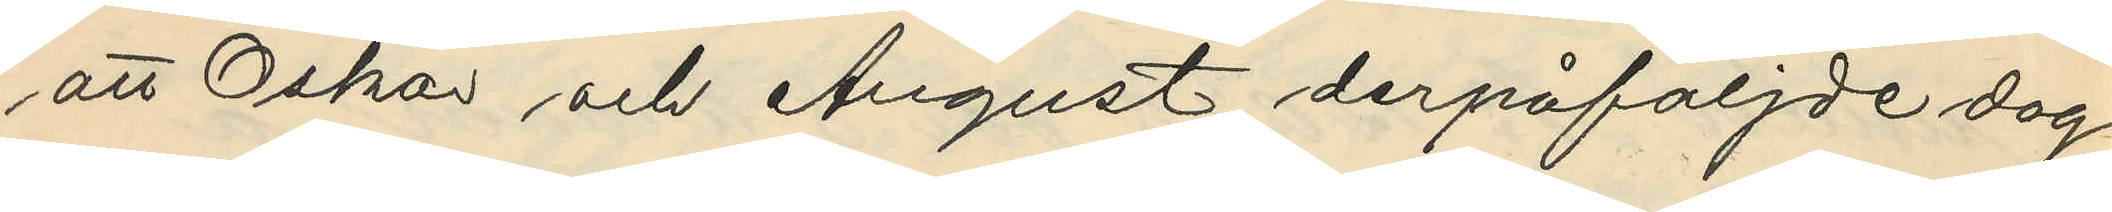att Oskar och August derpåföljde dag
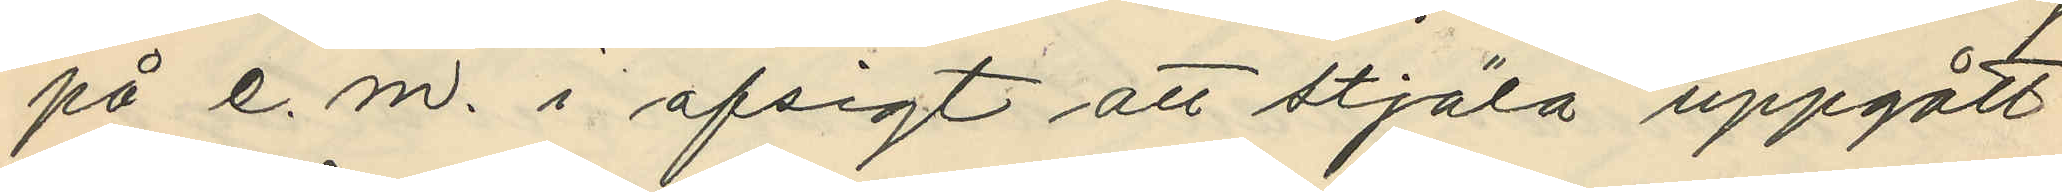på e.m. i afsigt att stjäla uppgått
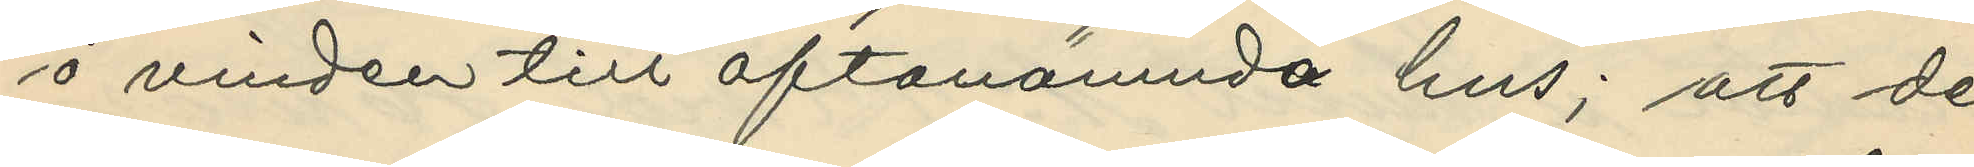å vinden till oftanämnda hus; att de
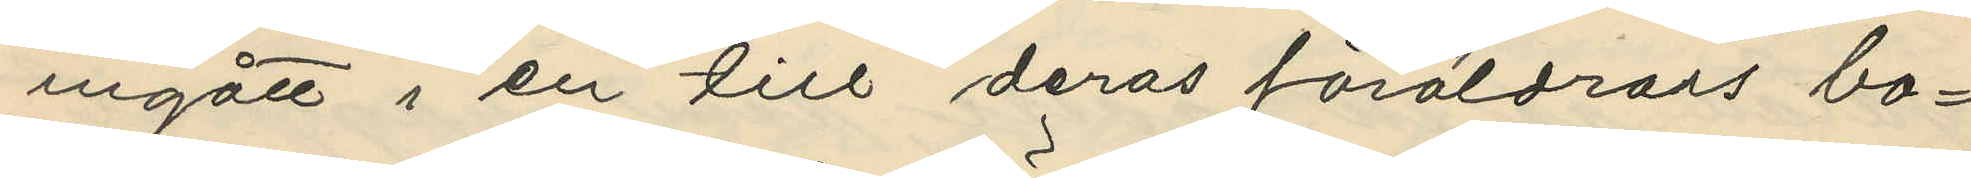ingått i en till deras föräldrars bo¬
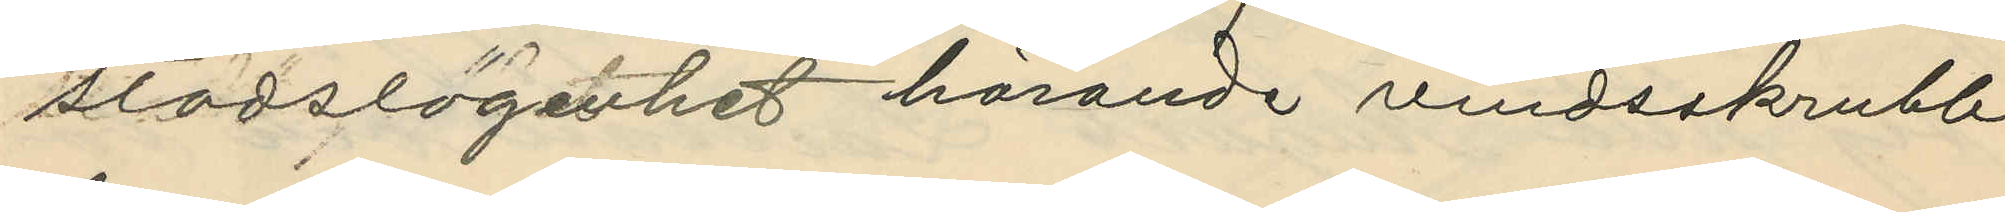stadslägenhet hörande vindsskrubb
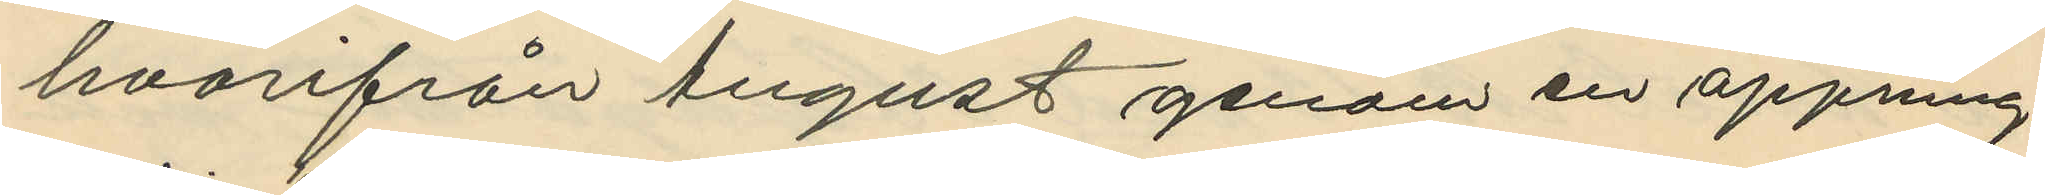hvarifrån August genom en öppning
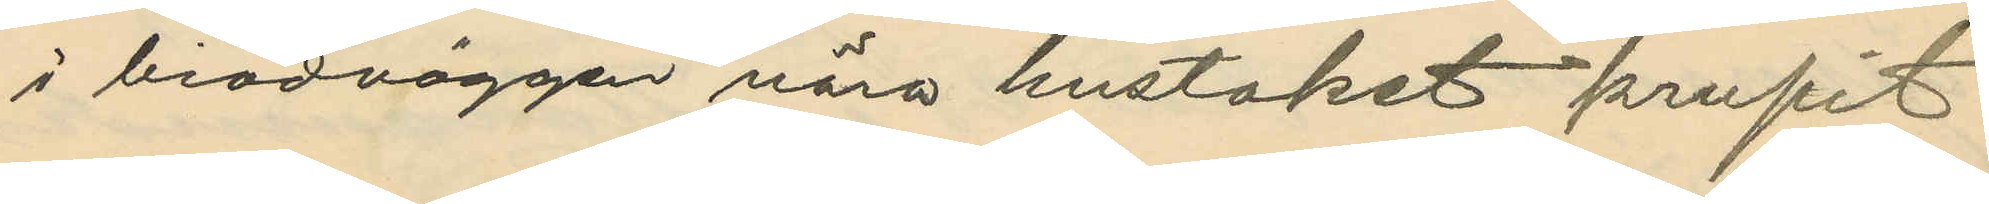i brädväggen nära hustaket krupit
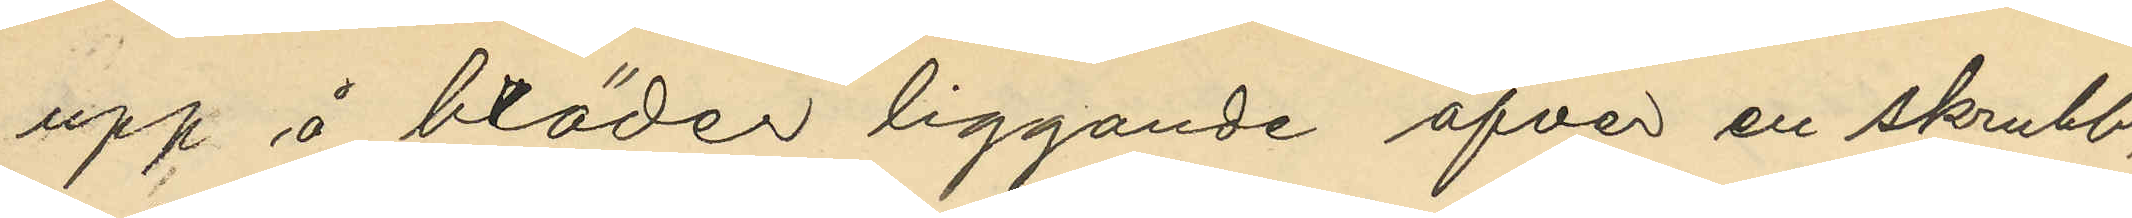upp å bräder liggande öfver en skrubb,
